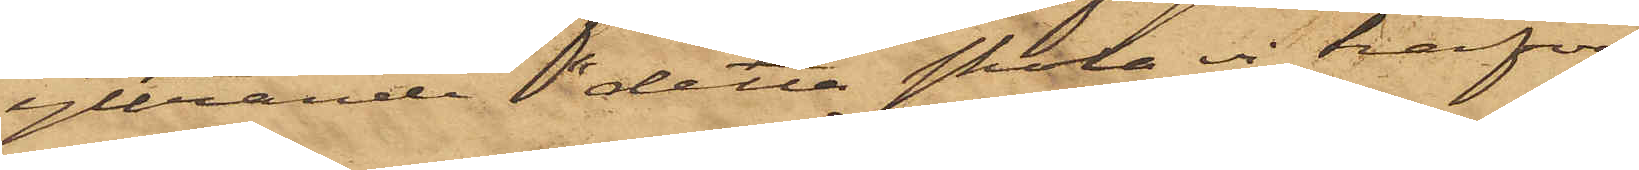yttrande "detta skulle vi hafva
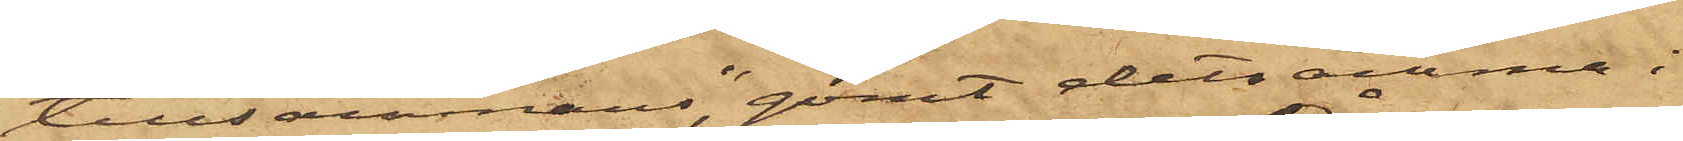tillsammans", gömt detsamma i
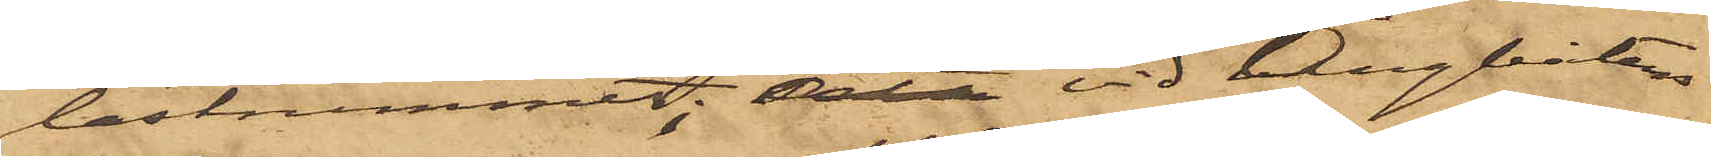lastrummet; att vid Ångbåtens
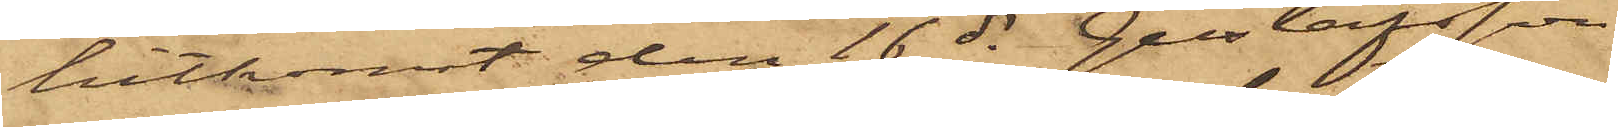hitkomst den 16 ds Gustafsson
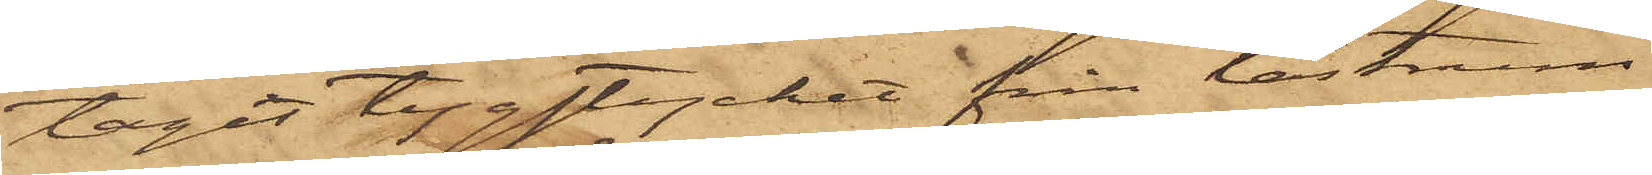tagit tygstycket från lastrum¬
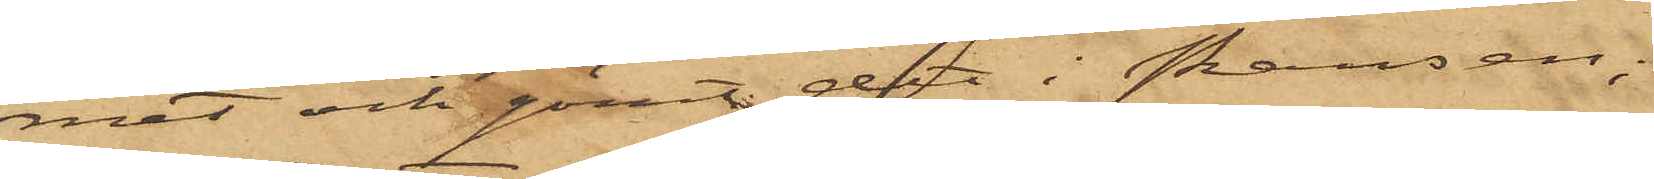met och gömt det i skansen;
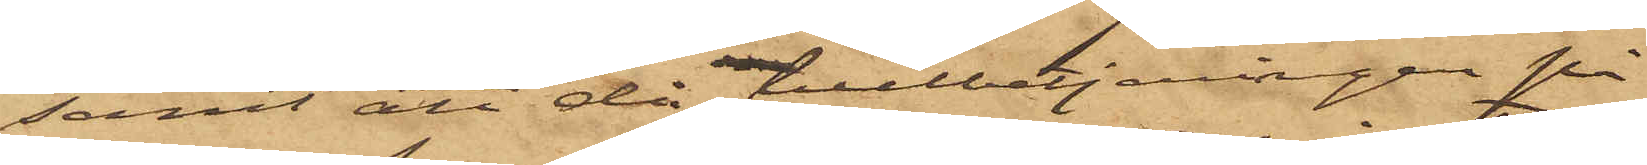samt att då tullbetjäningen på
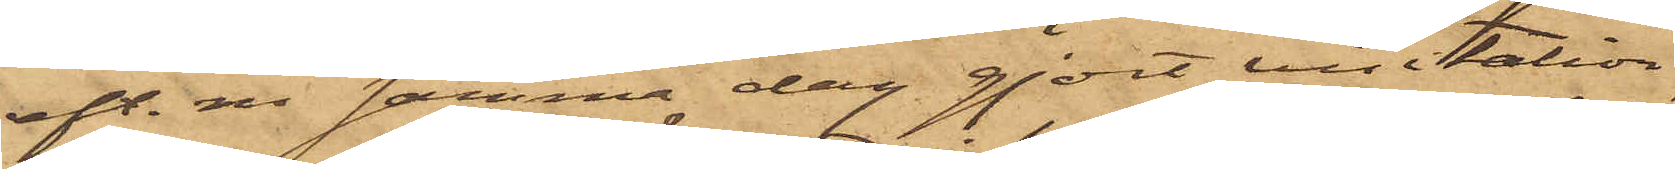eft. m. samma dag gjort visitation,
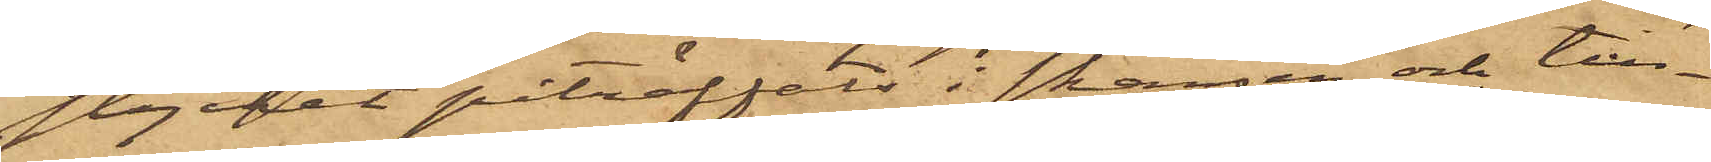stycket påträffals i skansen och till¬
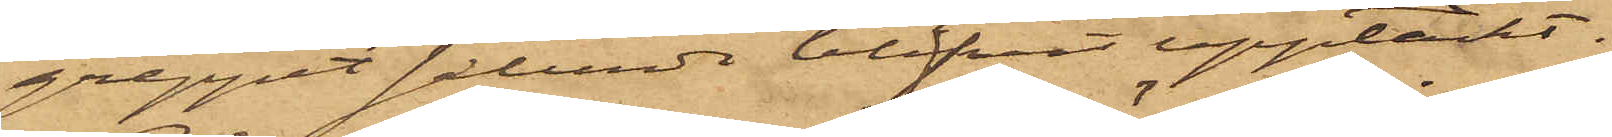greppet sålunda blifvit upptäckt.
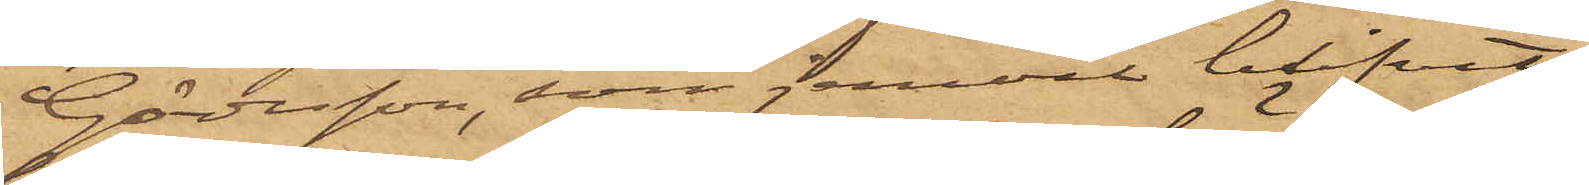Göransson, som jemväl blifvit
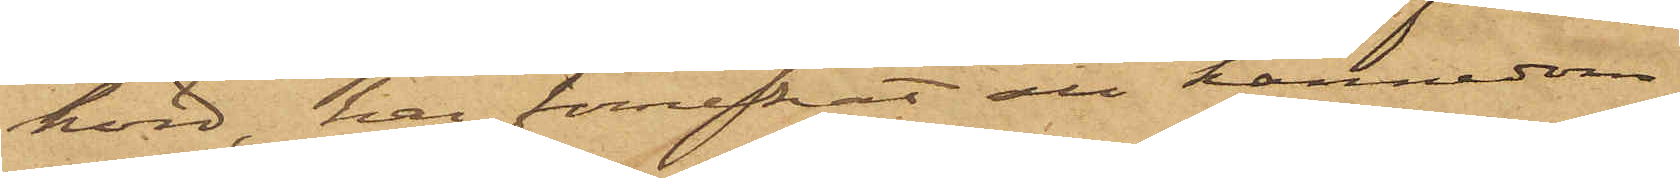hörd, har förnekat all kännedom
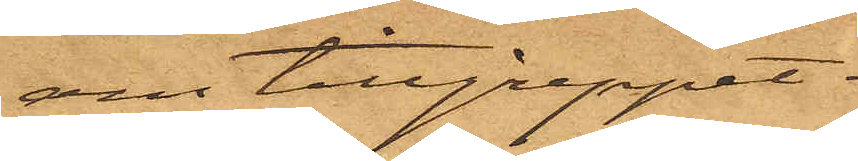om tillgreppet.
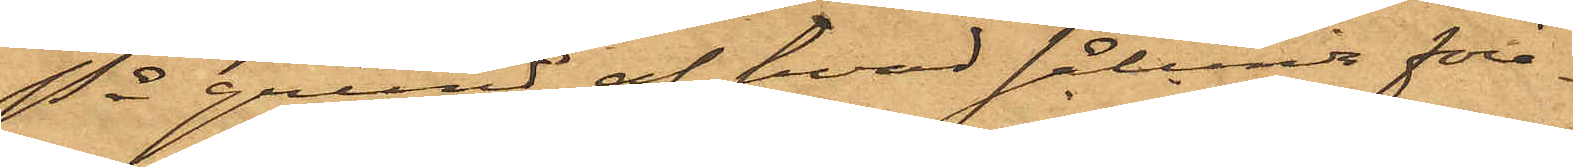På grund af hvad sålunda före¬
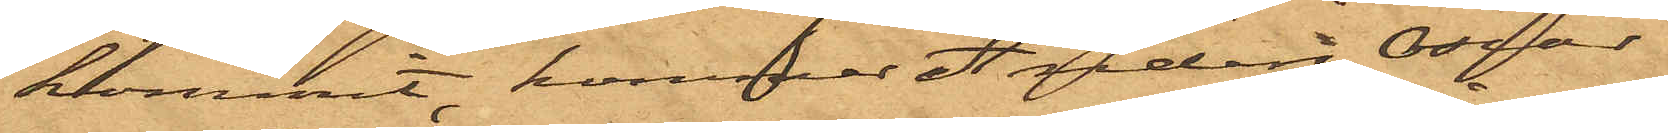kommit, kommer Anders Oscar
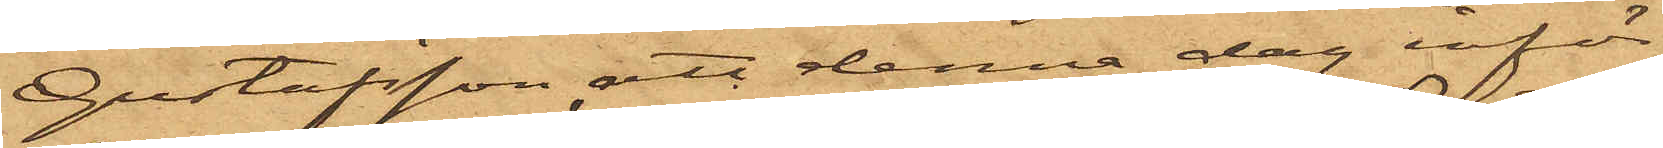Gustafsson att denna dag inför
